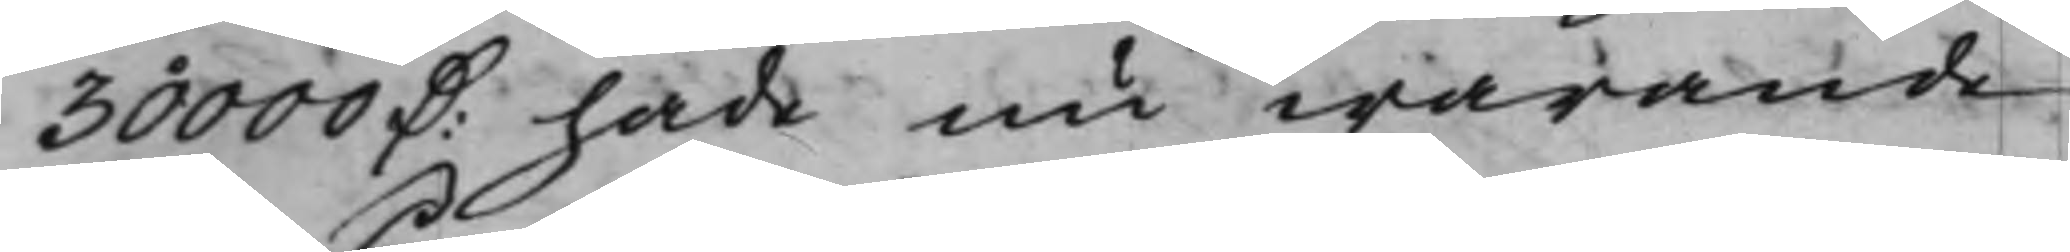30000 D: hade nu warande
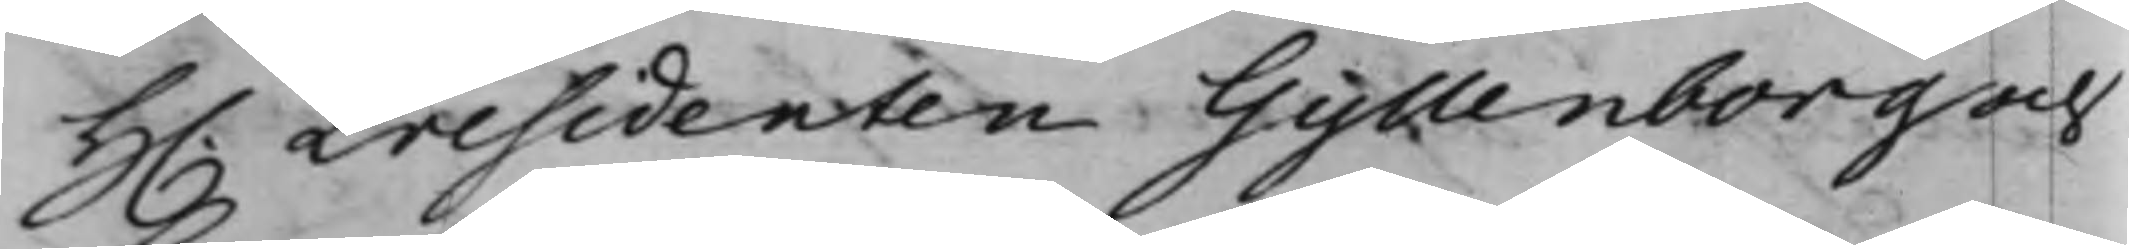H. Presidenten Gyllenborg och
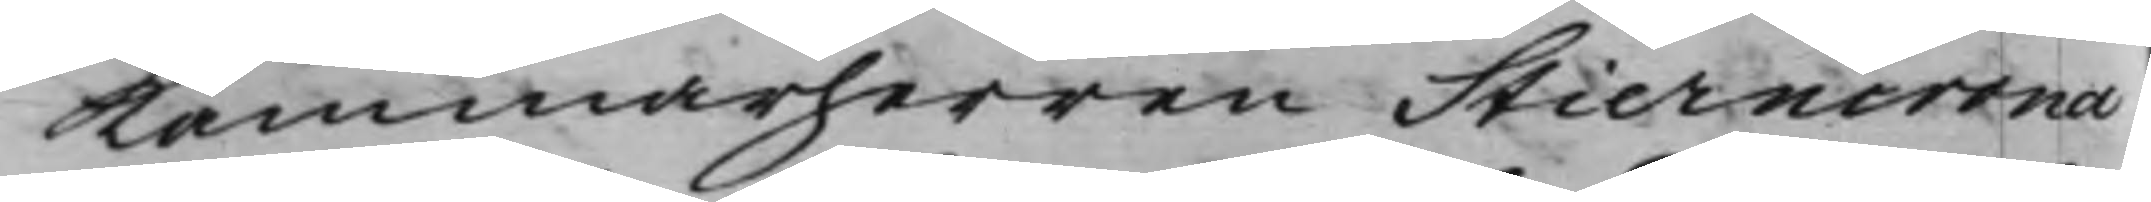Kammarherren Stierncrona
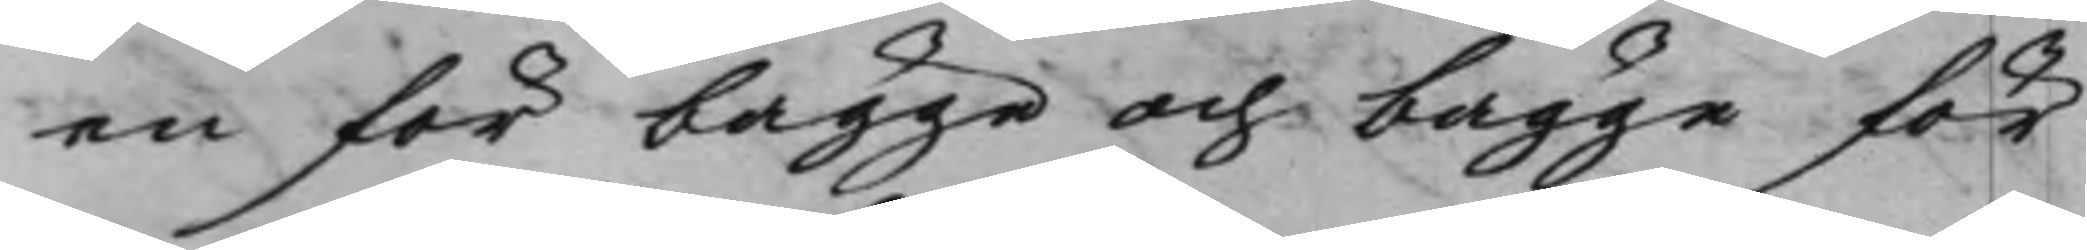en för bägge och bägge för
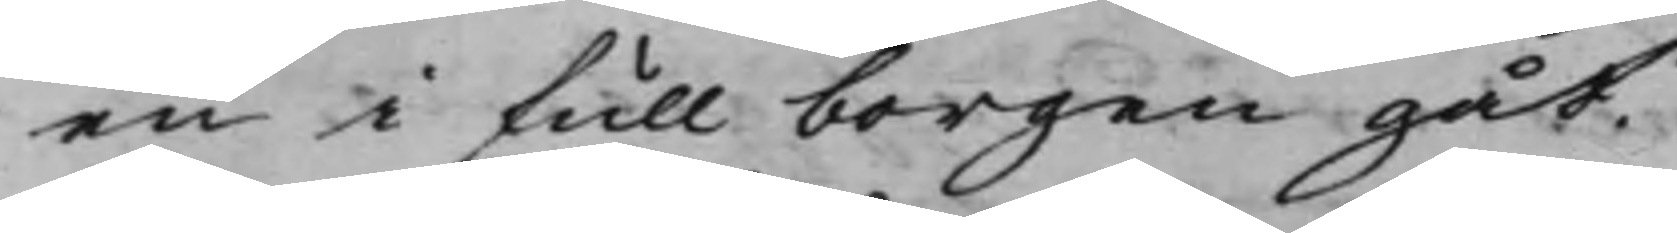en i full borgen gåt.
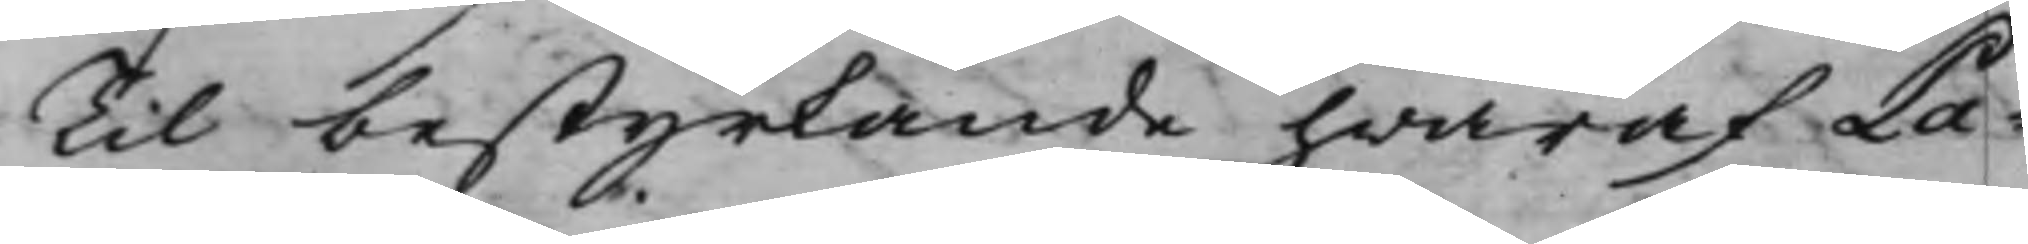Til bestyrkande hwaraf Pa¬
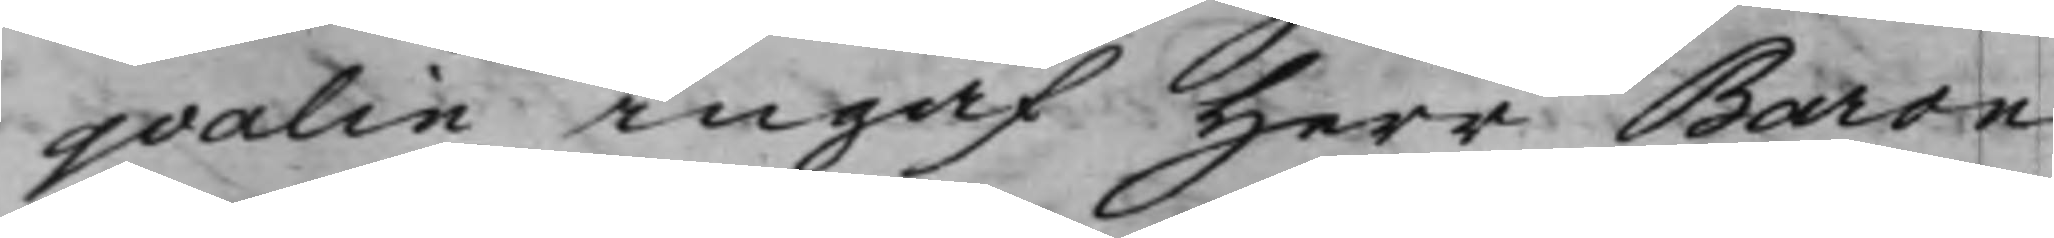qvalin ingaf Herr Baron
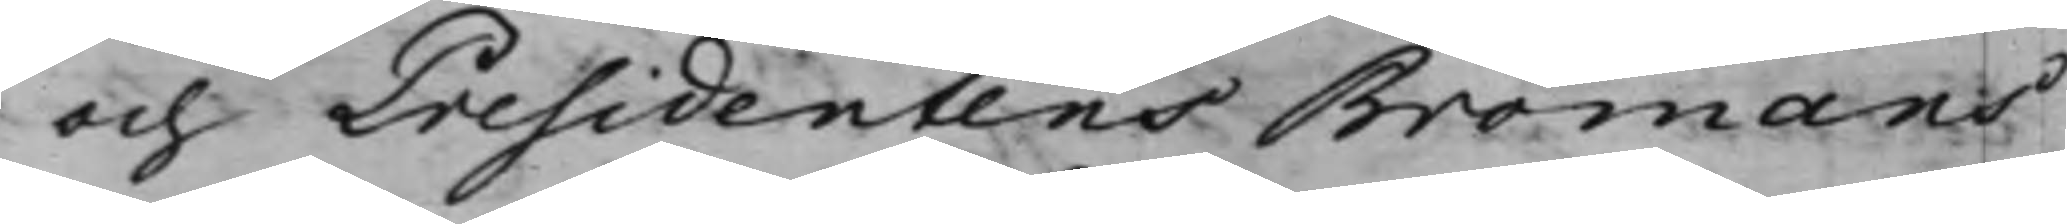och Presidentens Bromans
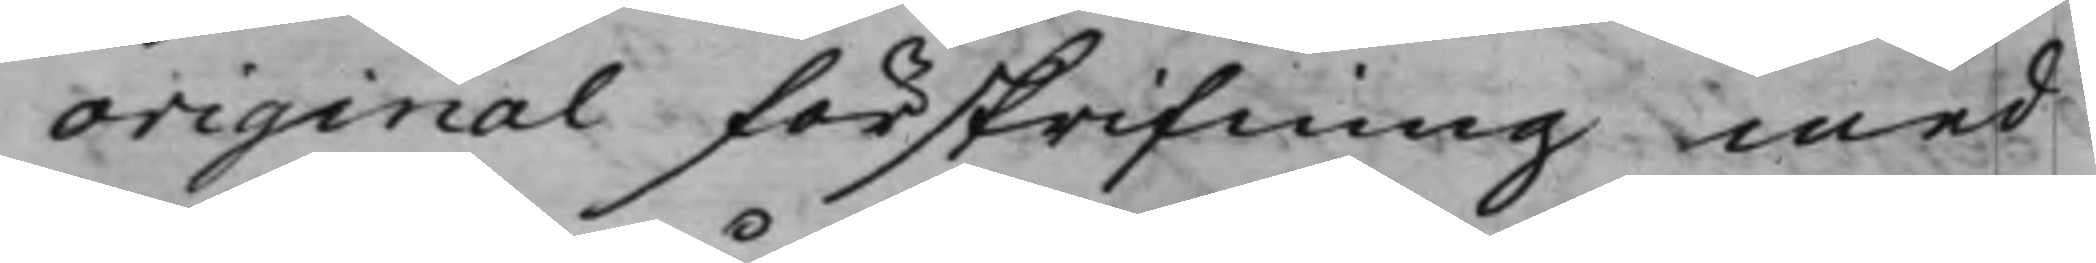original förskrifning med
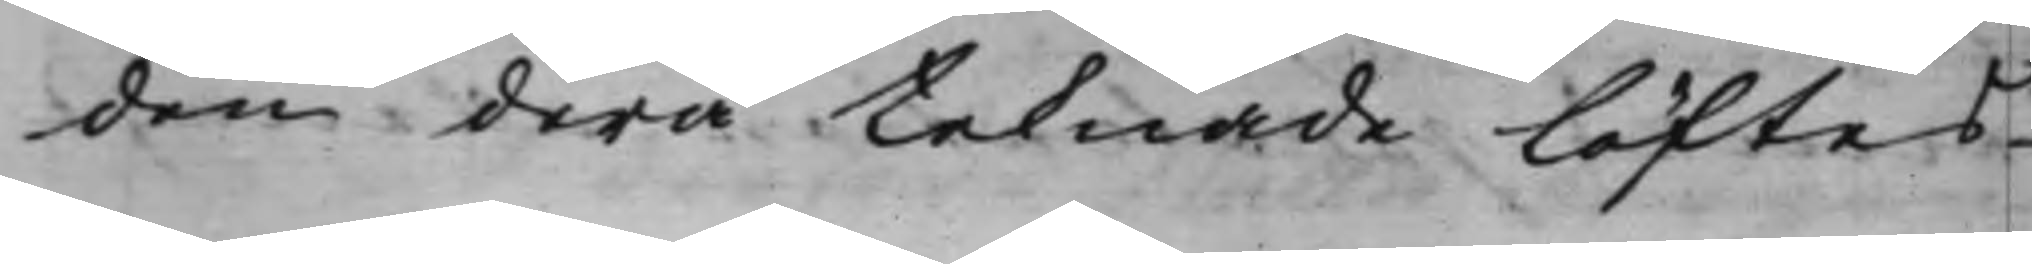den derå teknade löftes¬
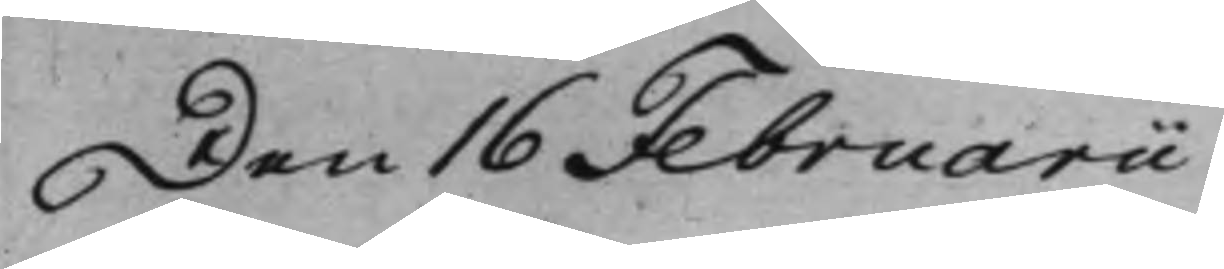Den 16 Februarii
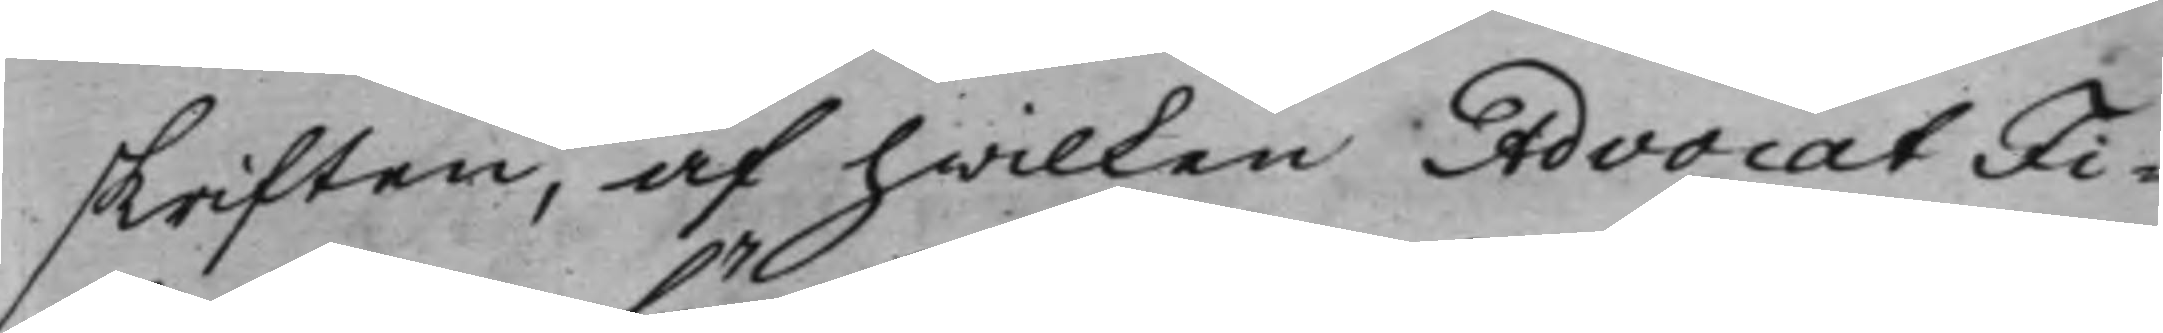skriften, af hwilken AdvocatFi¬
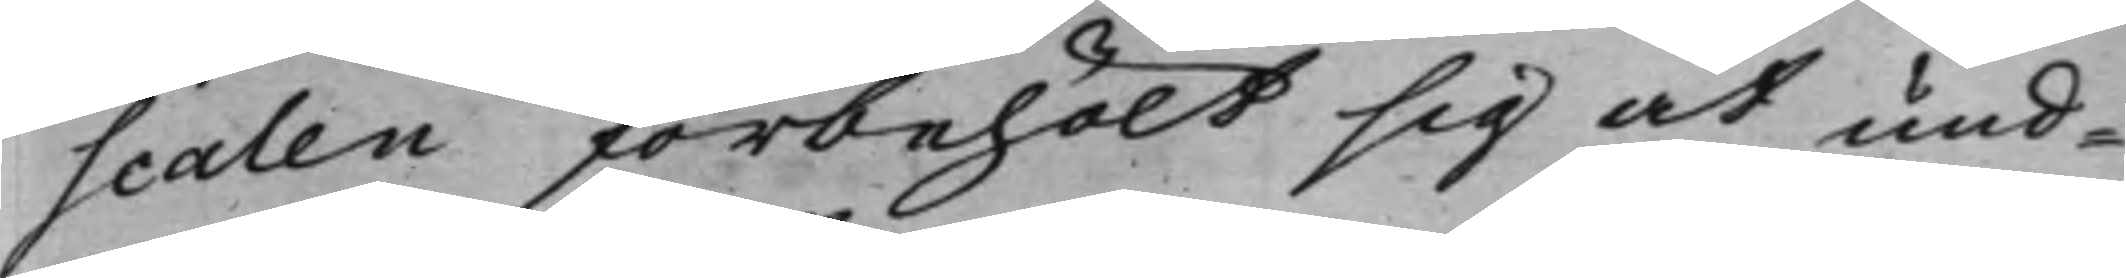scalen förbehölt sig at und¬
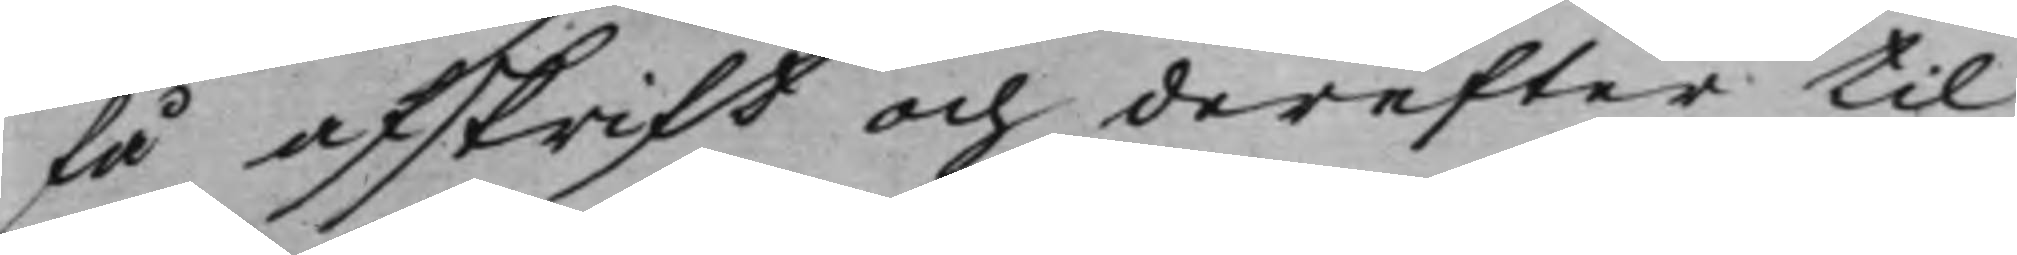få afskrift och derefter til
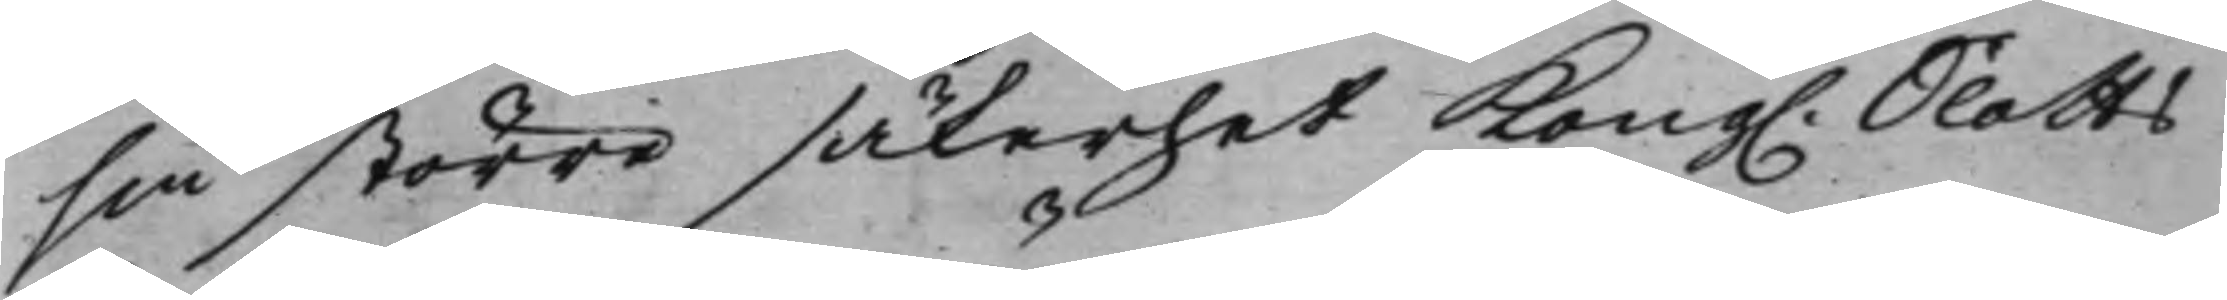sin större säkerhet Kong. Slotts¬
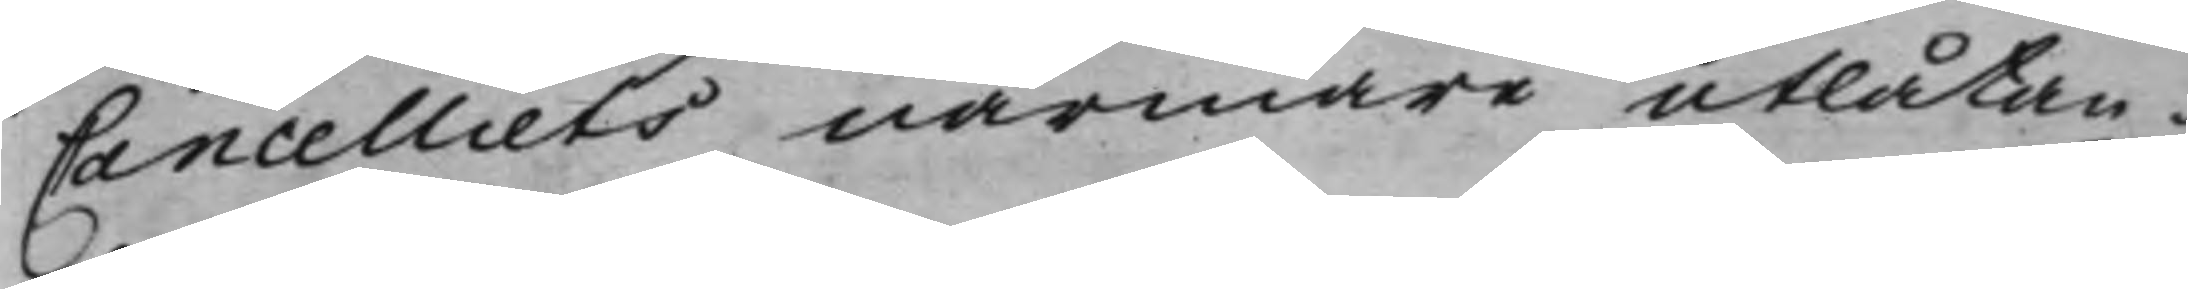Cancelliets närmare utlåtan¬
